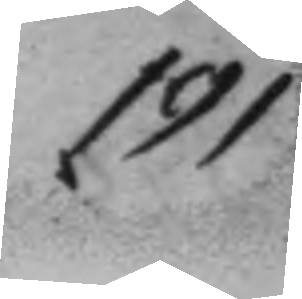191.
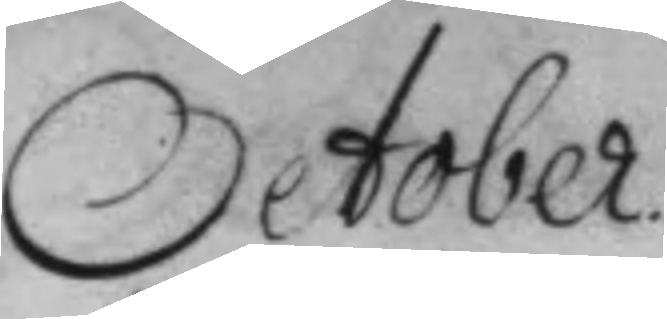October.
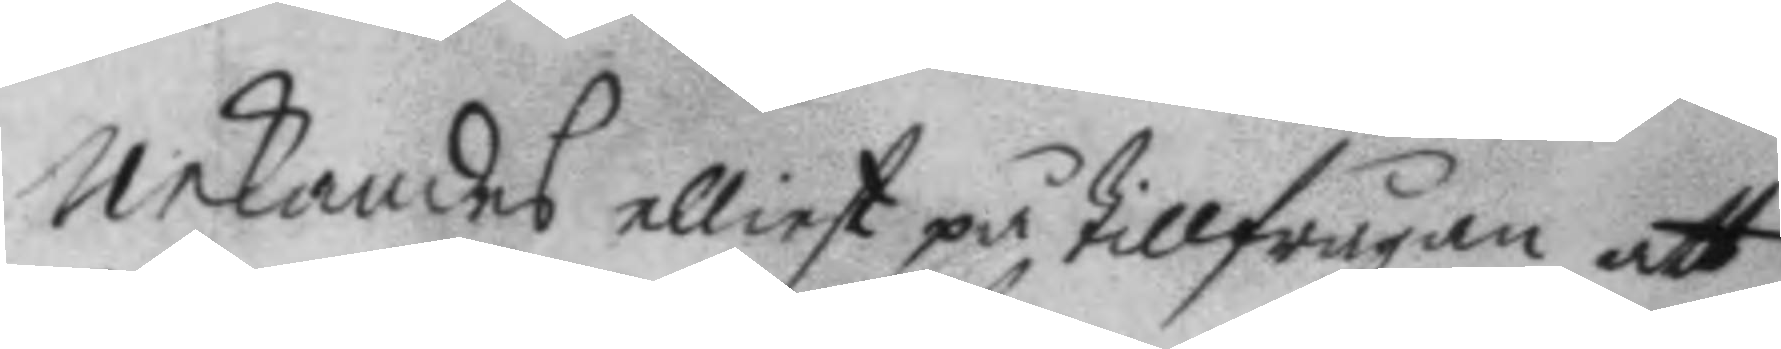nekandes elliest på tillfrågan att
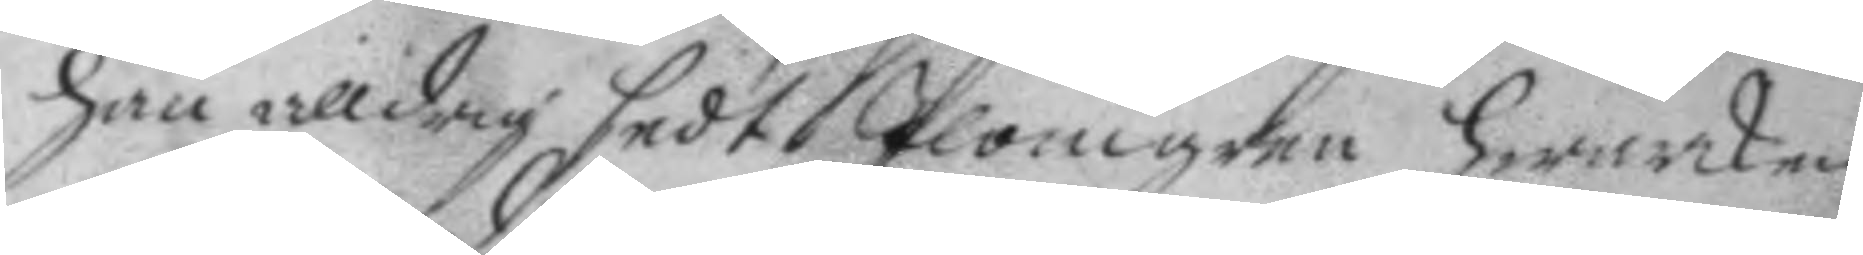han alldrig sedt Plomgren hwarken
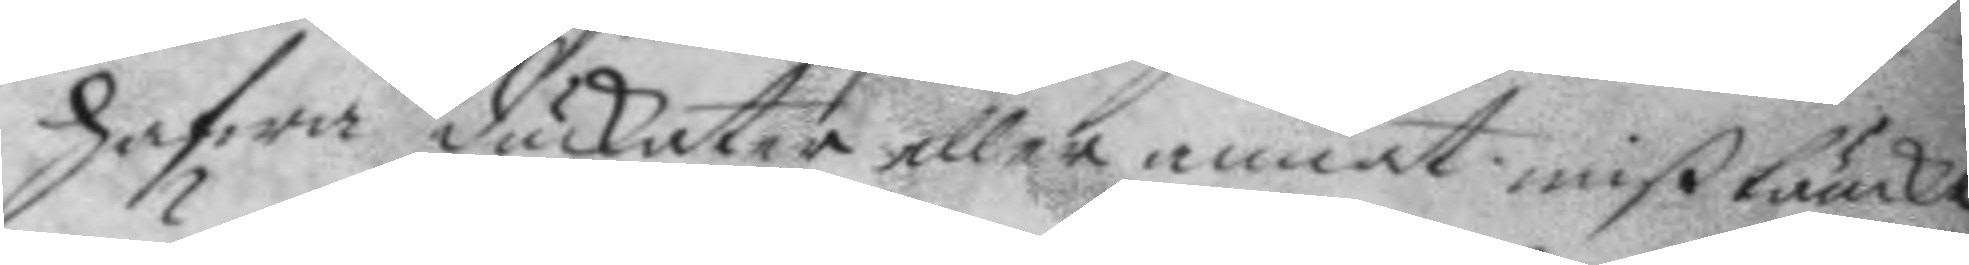hafwa duckater eller annat mißtänkt
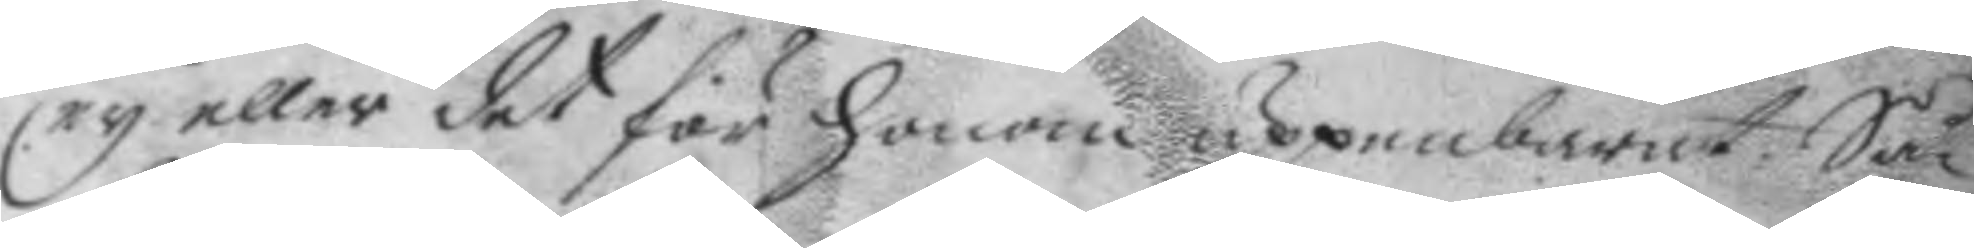ey eller det för honom uppenbarat. Så
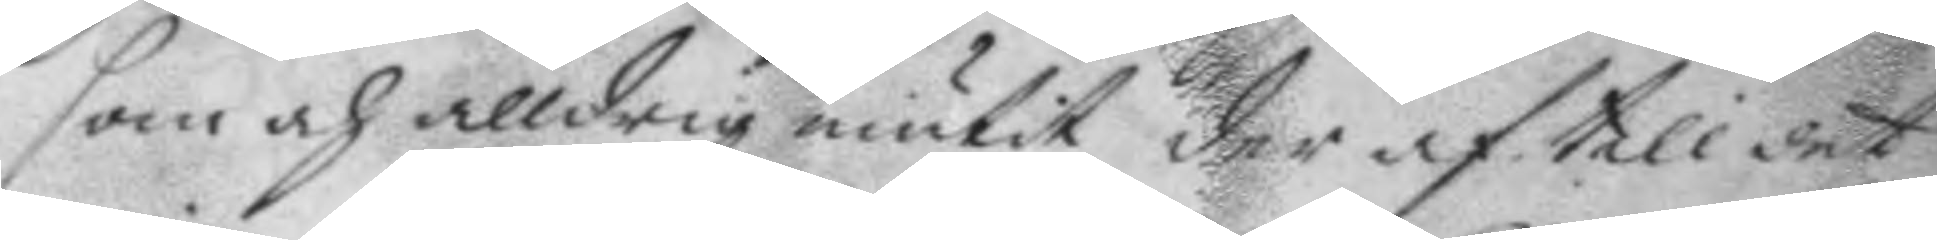som och alldrig niutit der af till det
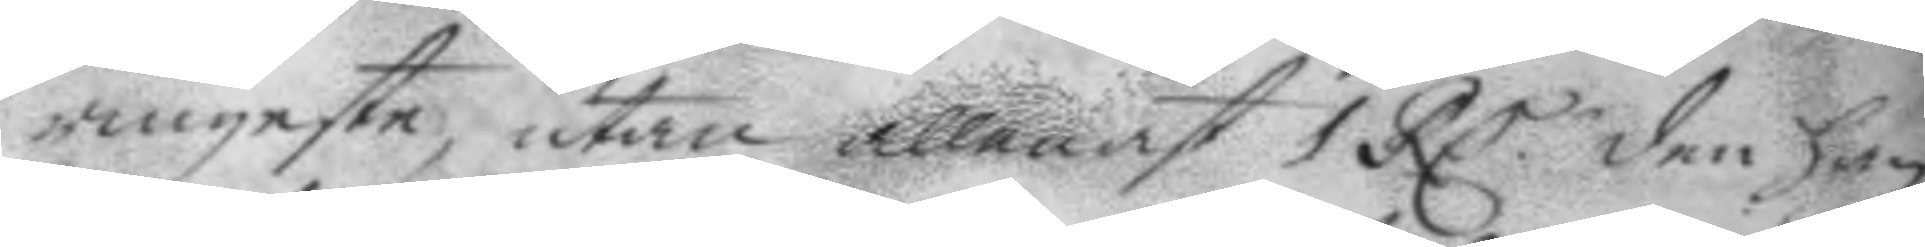ringaste utan allenast 1 RC den han
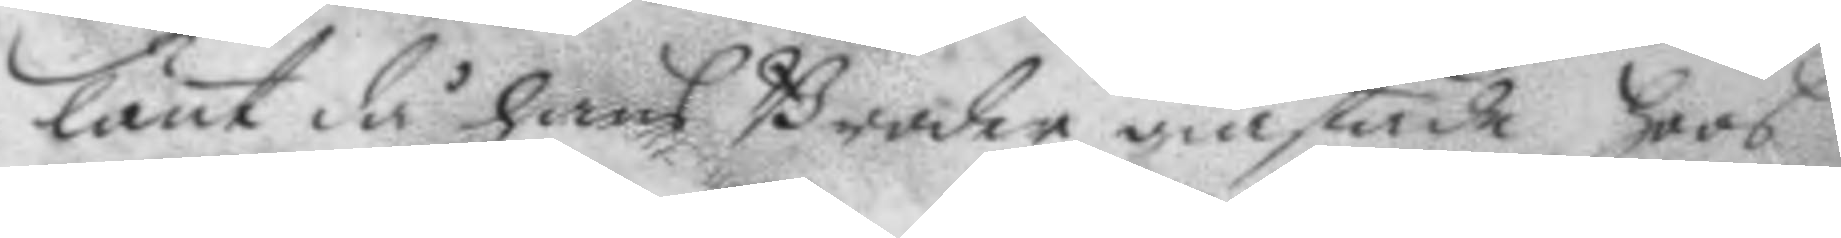lånt då hans Broder giästade hoos
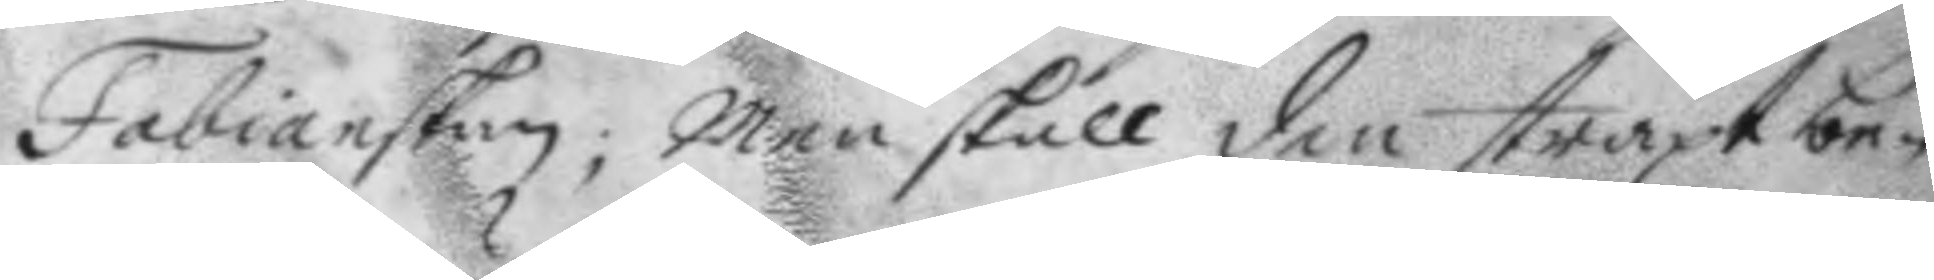Fabianskan; men skall den straxt be¬
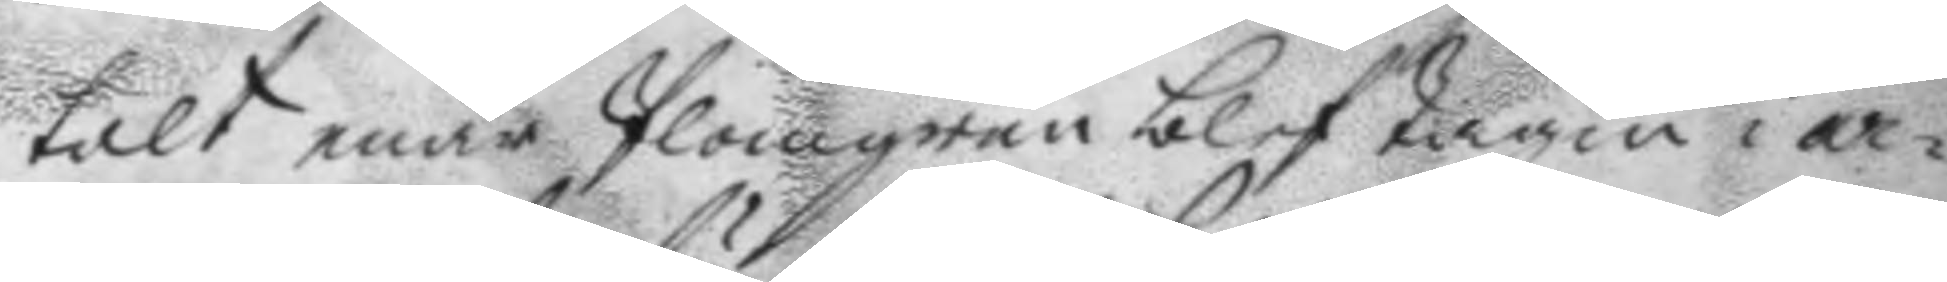talt enär Plomgren blef tagin i ar¬
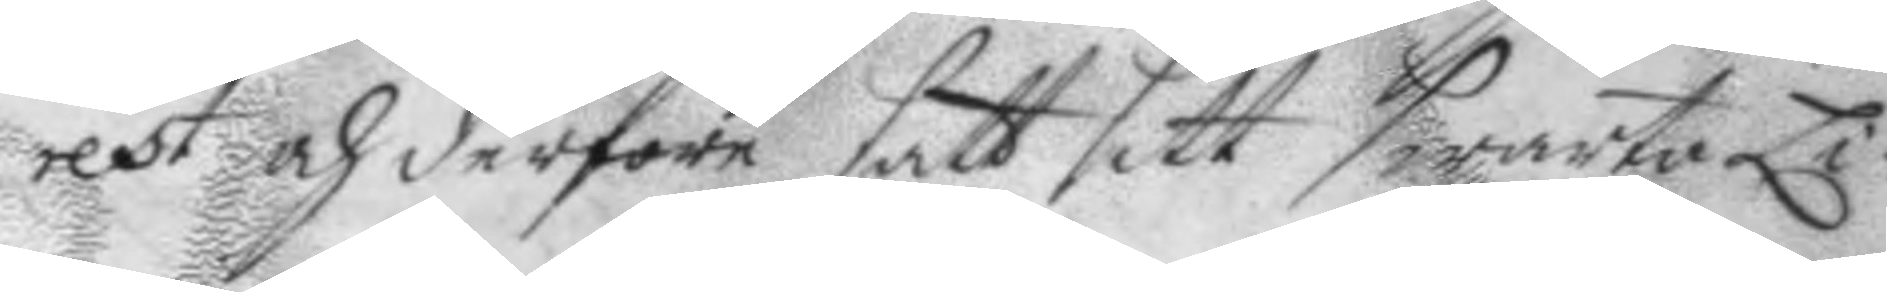rest och derföre satt sitt swarta Li¬
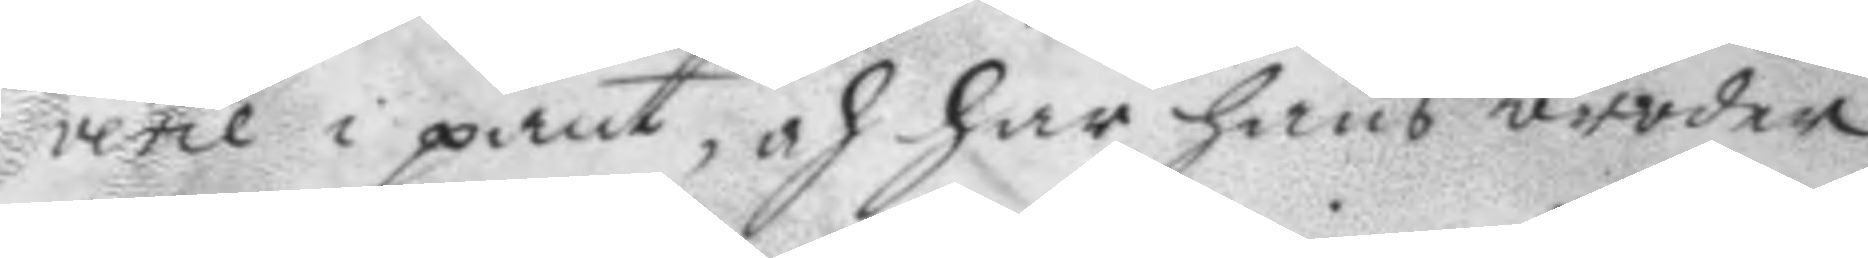verie i pant, och har hans broder
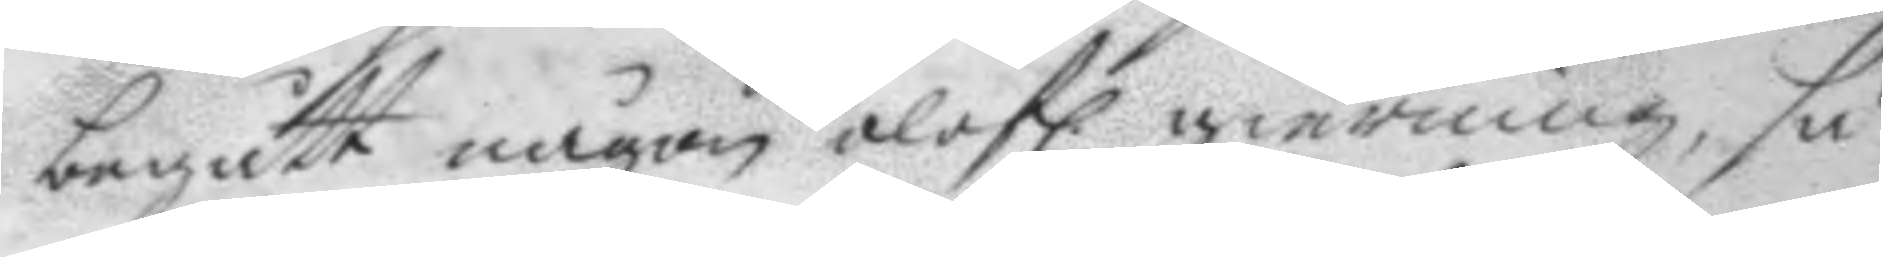begått någon olofl. gierning, så
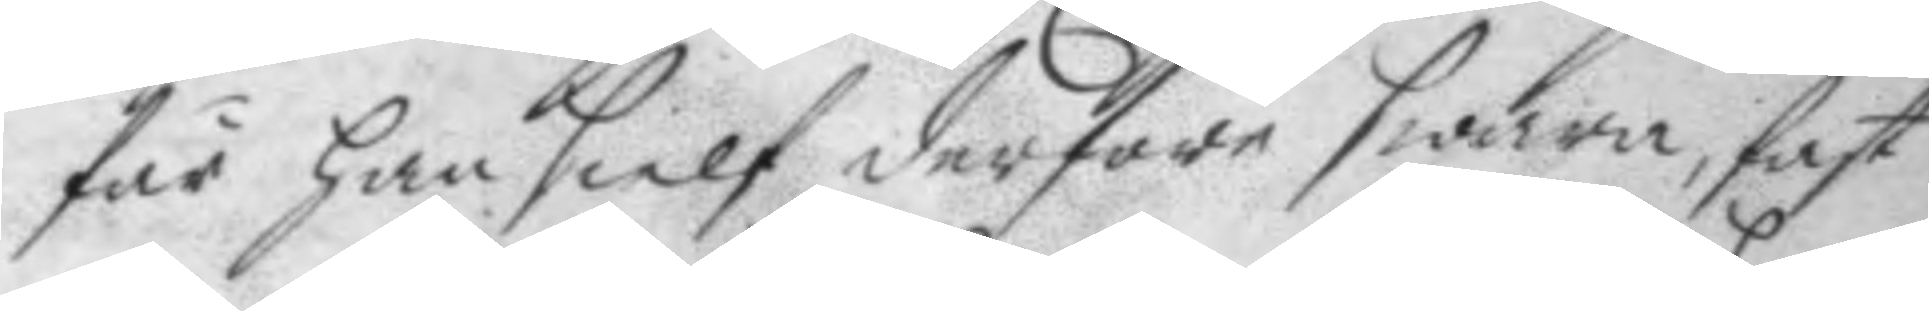får han sielf derföre swara, fast
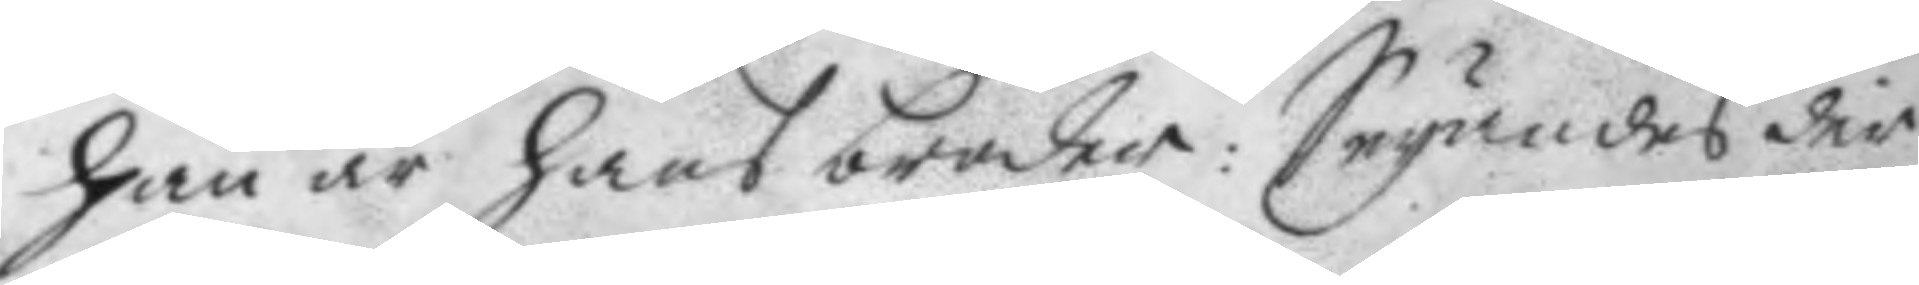han är hans broder: Seyandes der
